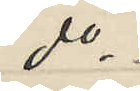do
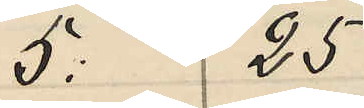5: 25
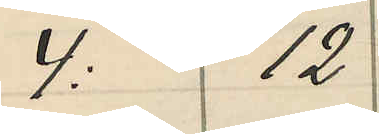4: 12
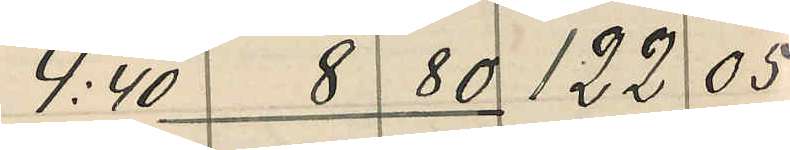4:40 8 80 122 05
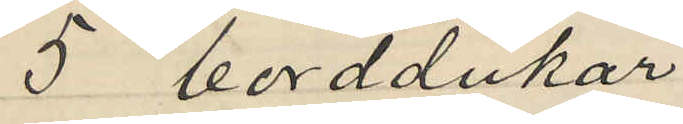5 borddukar
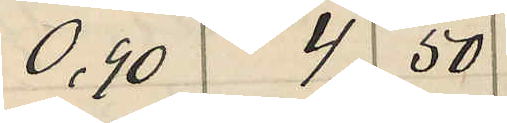0.90 4 50
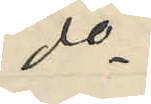do
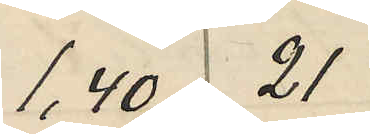1,40 21
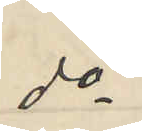do
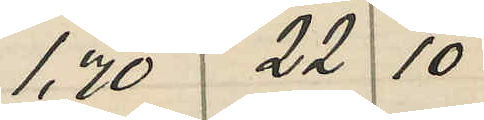1,70 22 10
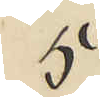5
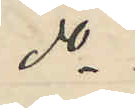do
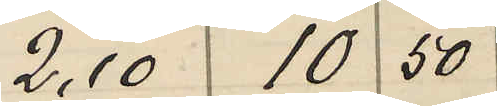2,10 10 50
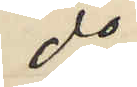do
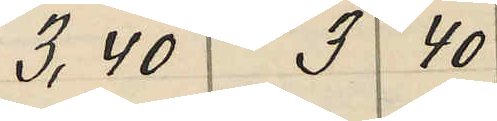3,40 3 40
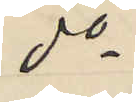do
